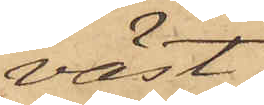väst;
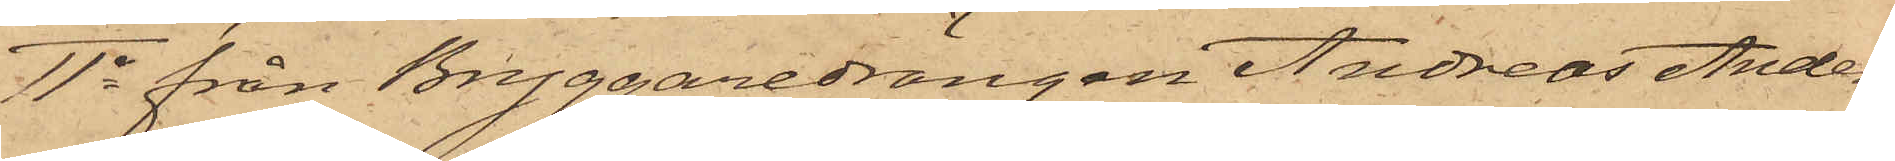11o från Bryggaredrängen Andreas Anders¬
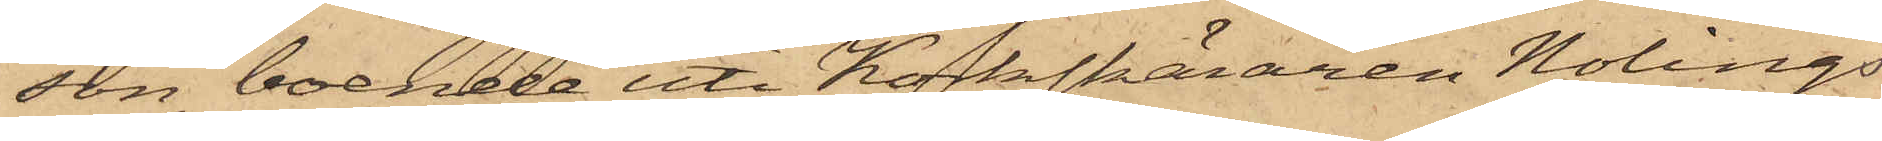son, boende uti Koksbäraren Nolings
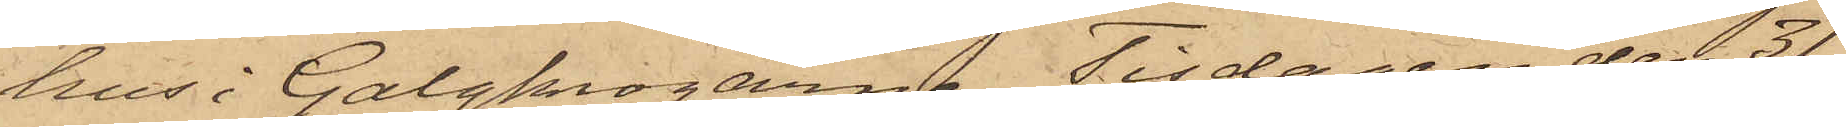hus i Galgkrogarne, Tisdagen den 31
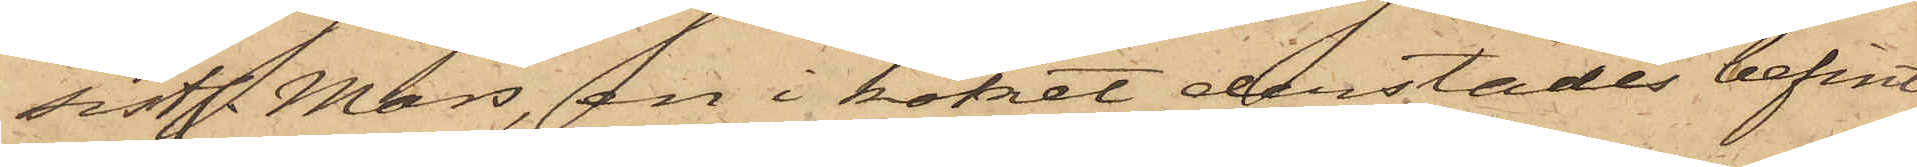sistl. Mars, en i köket derstädes befint¬
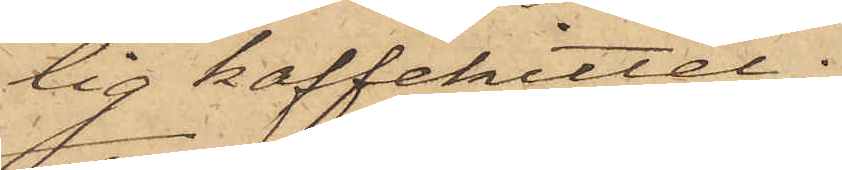lig kaffekittel;
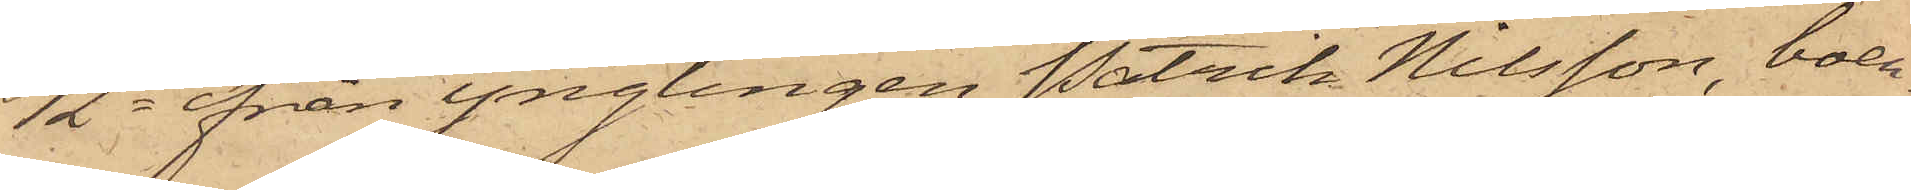12o från Ynglingen Patrik Nilsson, boen¬
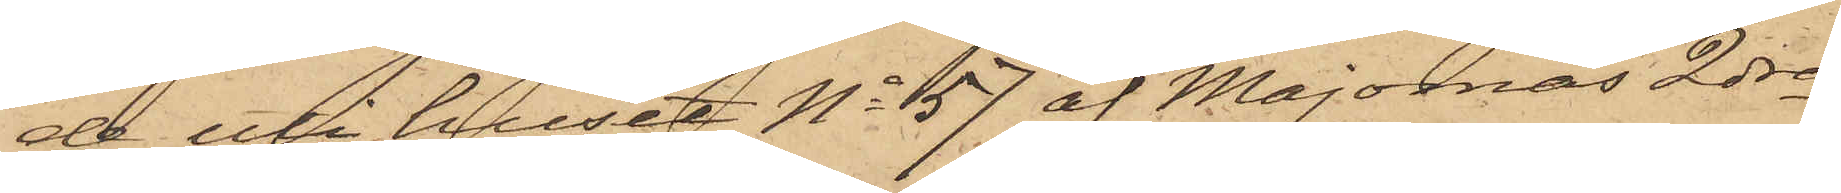de uti huset No 57 af Majornas 2dra
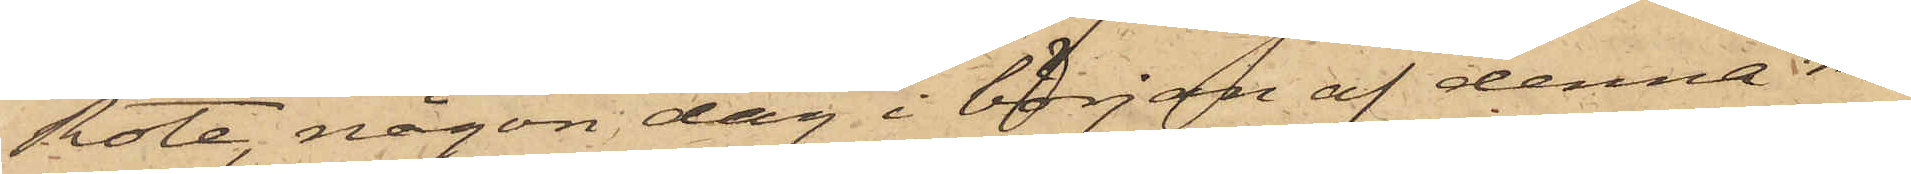Rote, någon dag i början af denna må¬
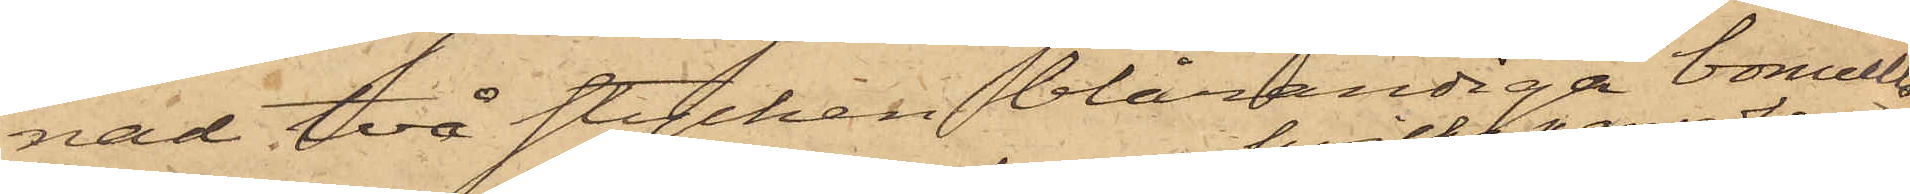nad två stycken blårandiga bomulls¬
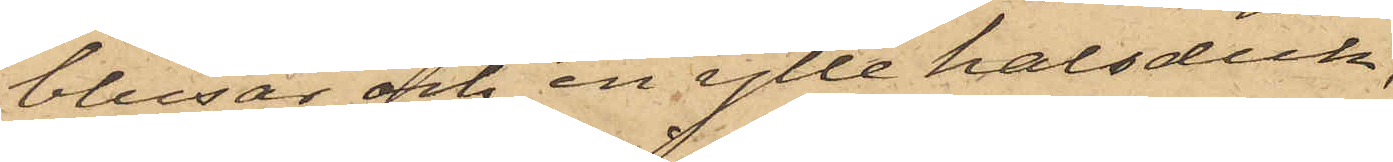blusar och en ylle halsduk,
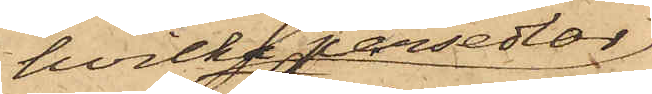hvilka persedlar
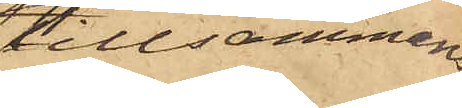tillsammans
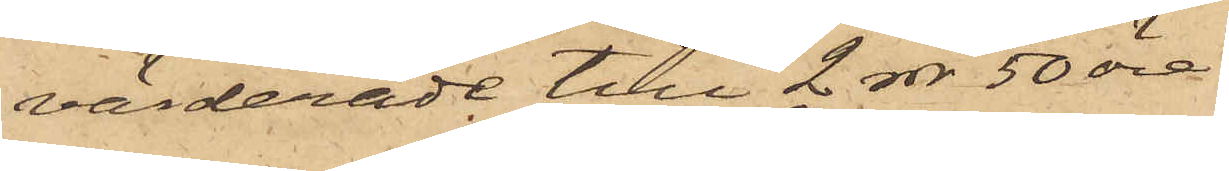värderade till 2 rdr 50 öre
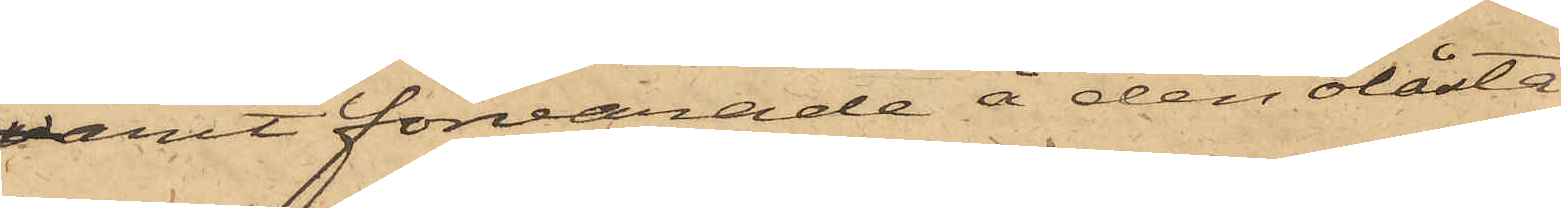varit förvarade å den olåsta
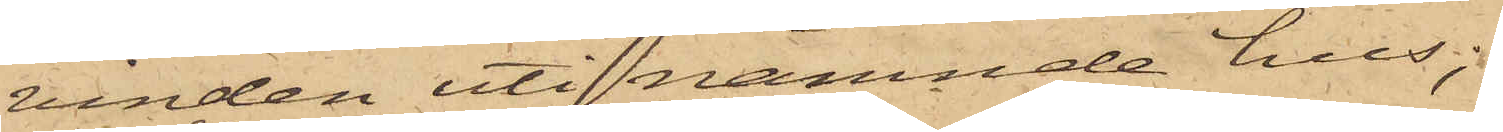vinden uti nämnde hus;
